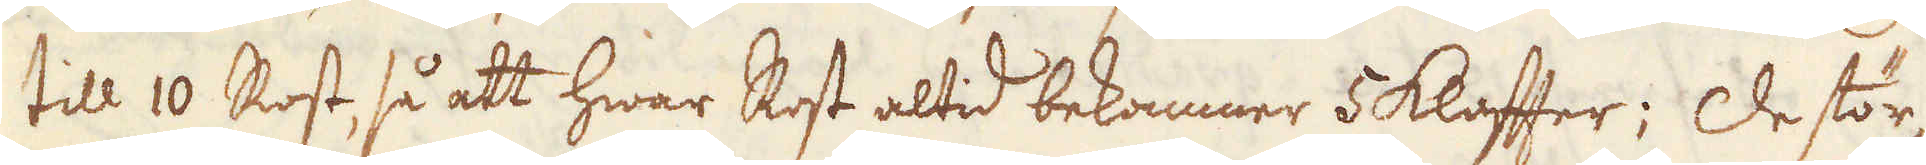till 10 Rost, så att hwar Rost altid bekommer 5 klafter; De stör-
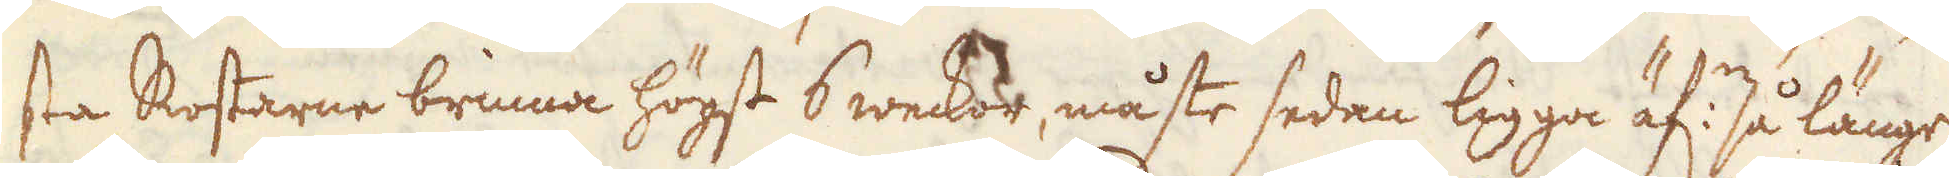sta Rostarne brinna högst 6 weckor, måste sedan ligga äf:n så länge
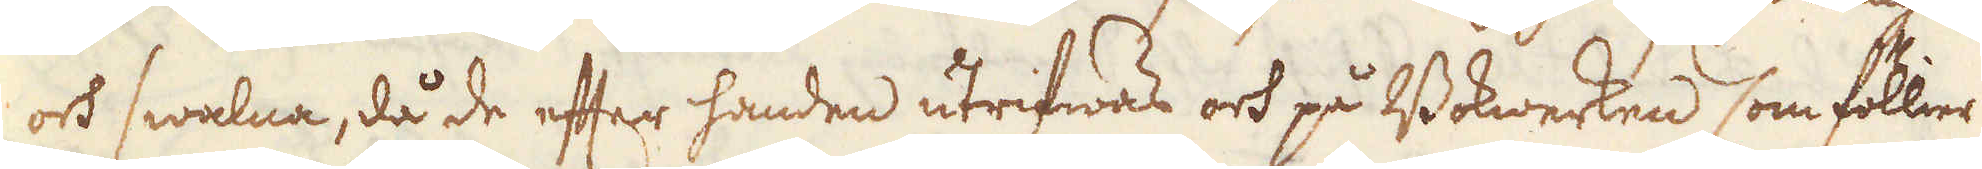och swalna, då de efter handen utrifwas och på Bokwerken som föllier
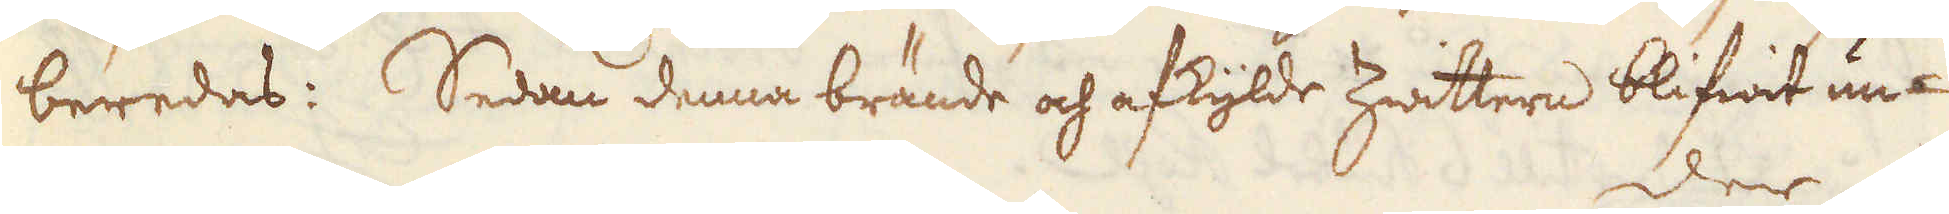beredas: Sedan denna brände och afkylde Zwittern blifwit un-
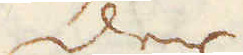der
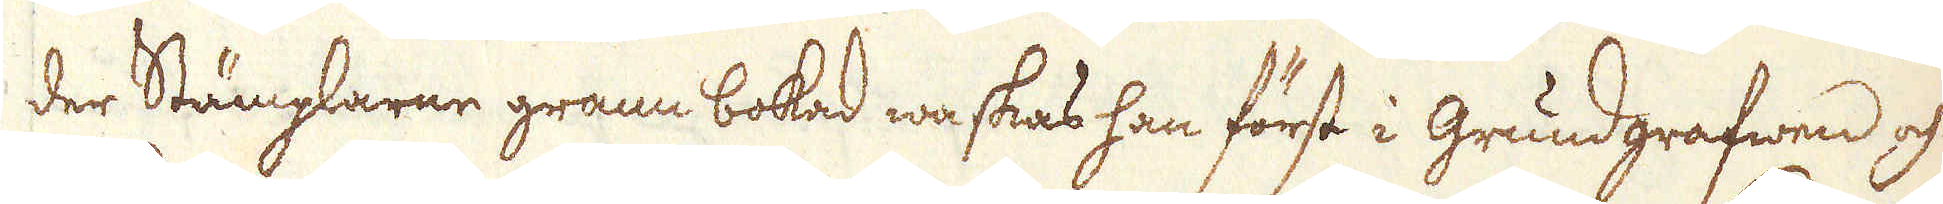der Stämplarne grann bokad waskas han först i Grundgrafwen och
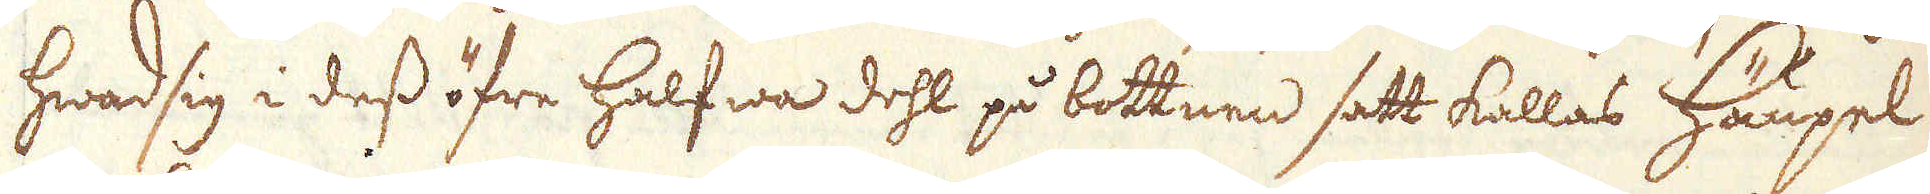hwad sig i dess öfre halfwa dehl på bottnen satt kallas Häupel
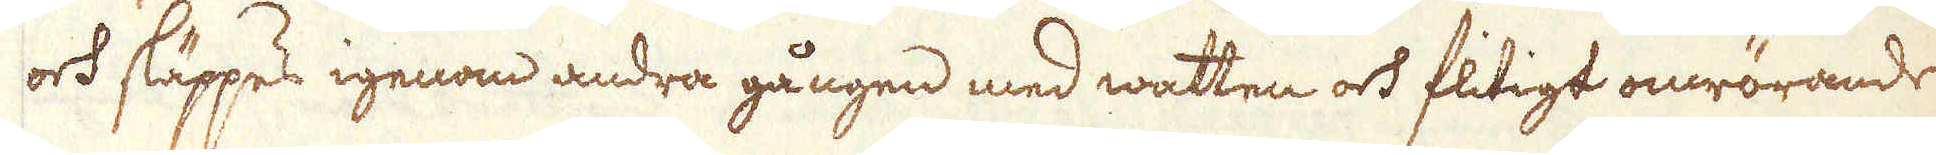och släppes igenom andra gången med watten och flitigt omrörande
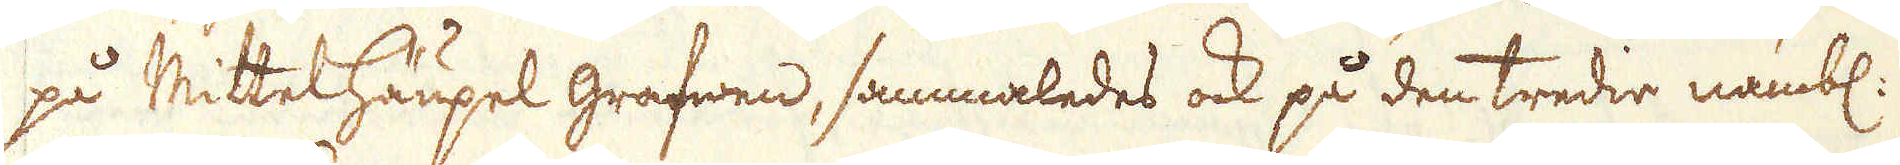på MittelHäupel grafwen, sammaledes ock på den tredie nämbl:
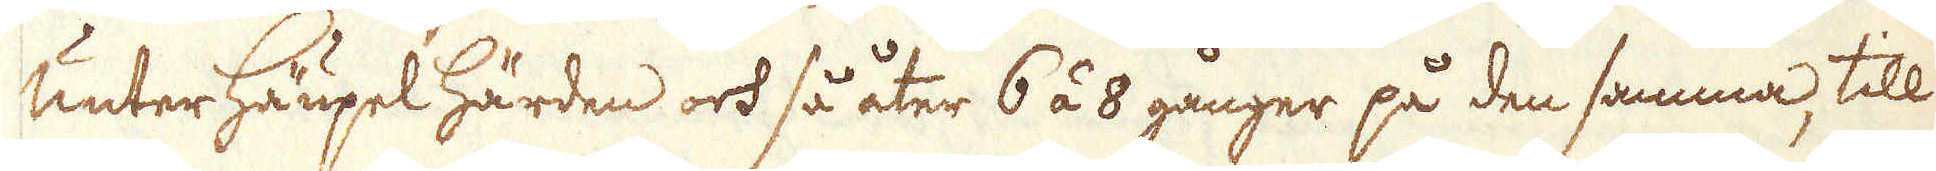Unter Häupel härden och så åter 6 á 8 gånger på den samma, till
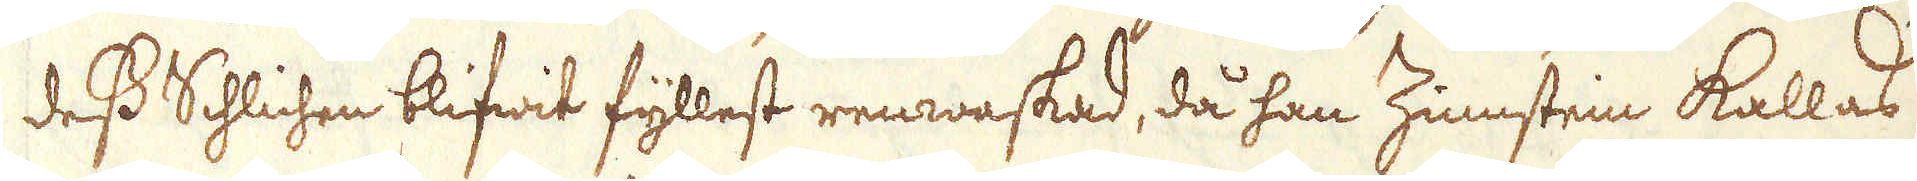dess Schlichen blifwit fyllest renwaskad, då han Zinnstein kallas
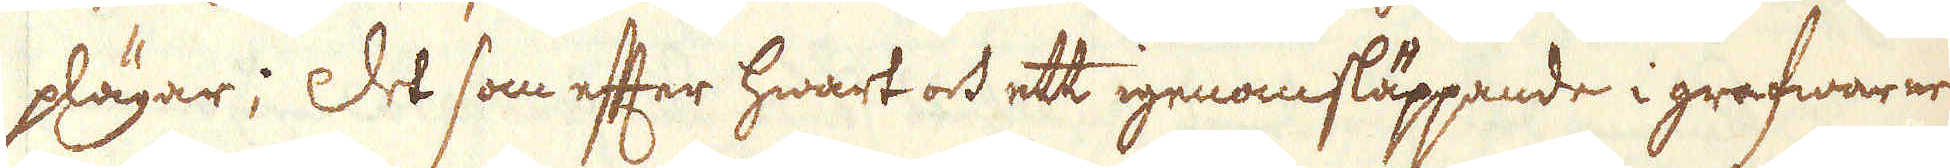plägar; Det som efter hwart och ett igenomsläppande i grafwarne
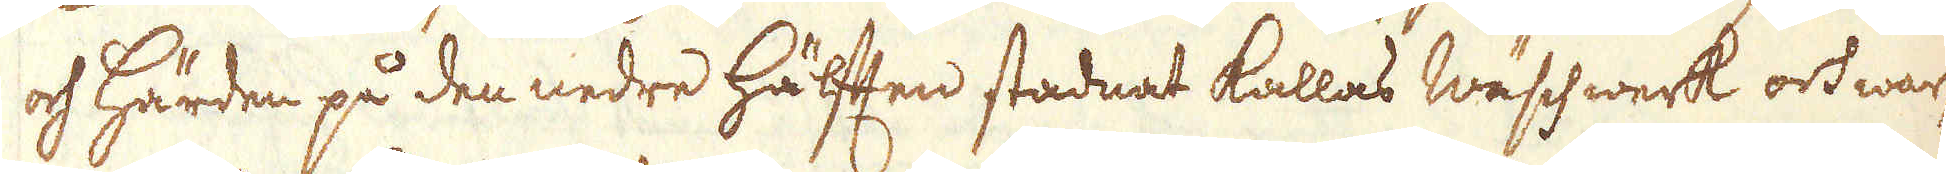och Härden på den nedre häften stadnat kallas Wäschwerk och war-
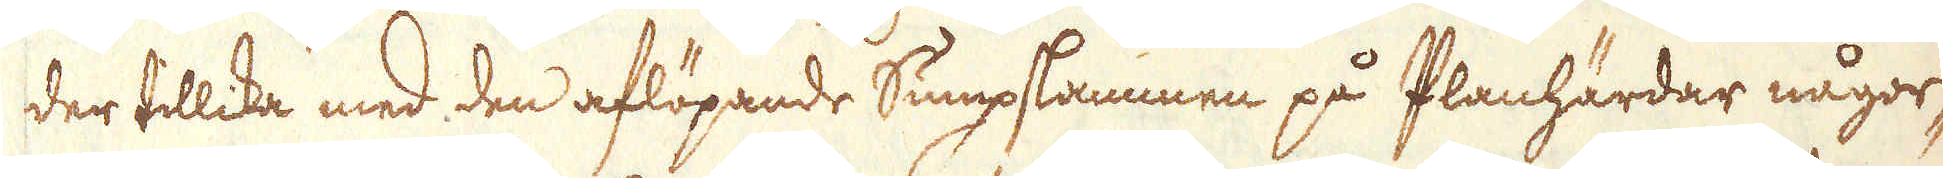der tillika med den aflöpande Sumpslammen på Planhärdar någor-
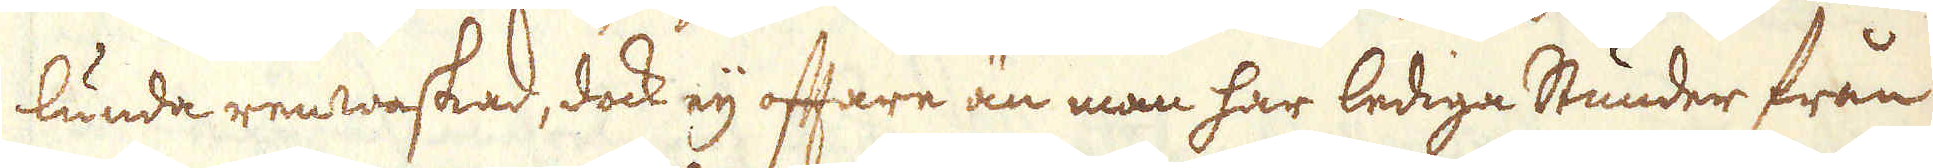lunda renwaskad, dock eij oftare än man har lediga stunder från
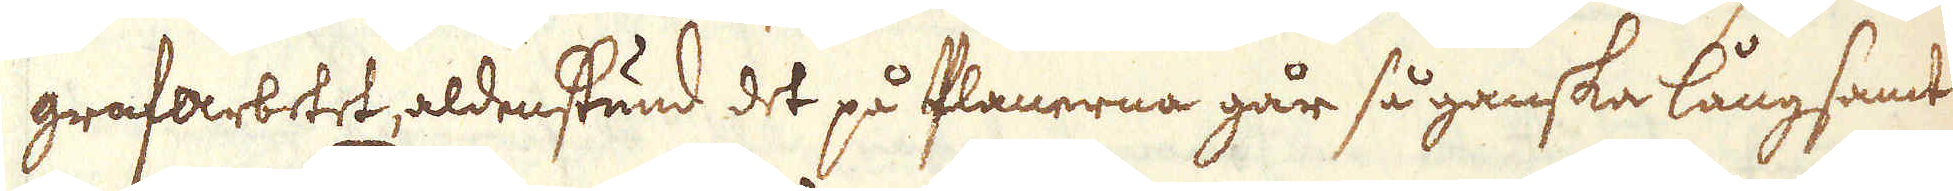grafarbetet, aldenstund det på Planerna går så ganska långsamt
